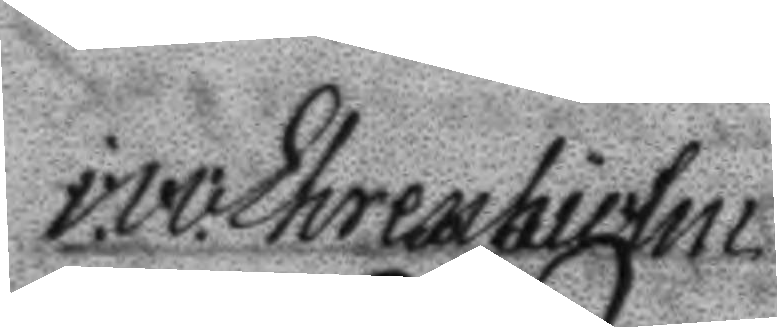i.v.v. Ehrenhielm
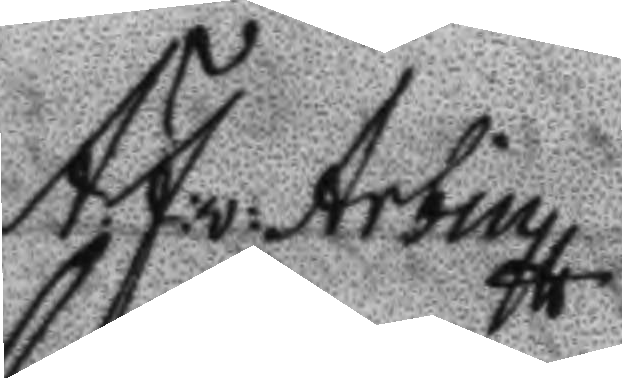A:F:v: Arbin
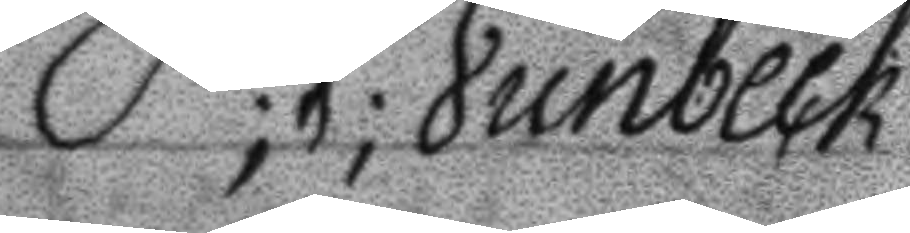P;V;Junbeck
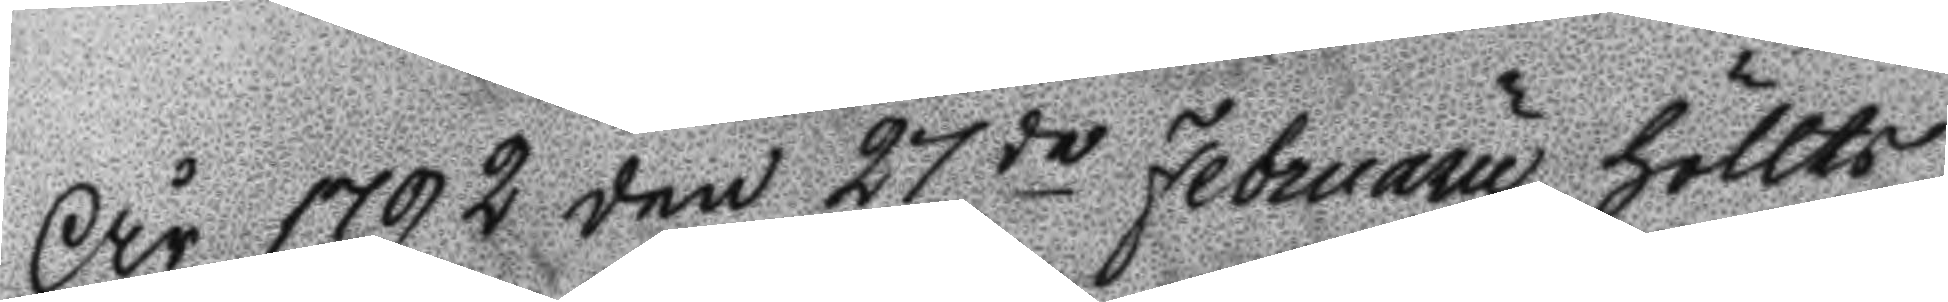År 1792 den 27de Februaru höllts
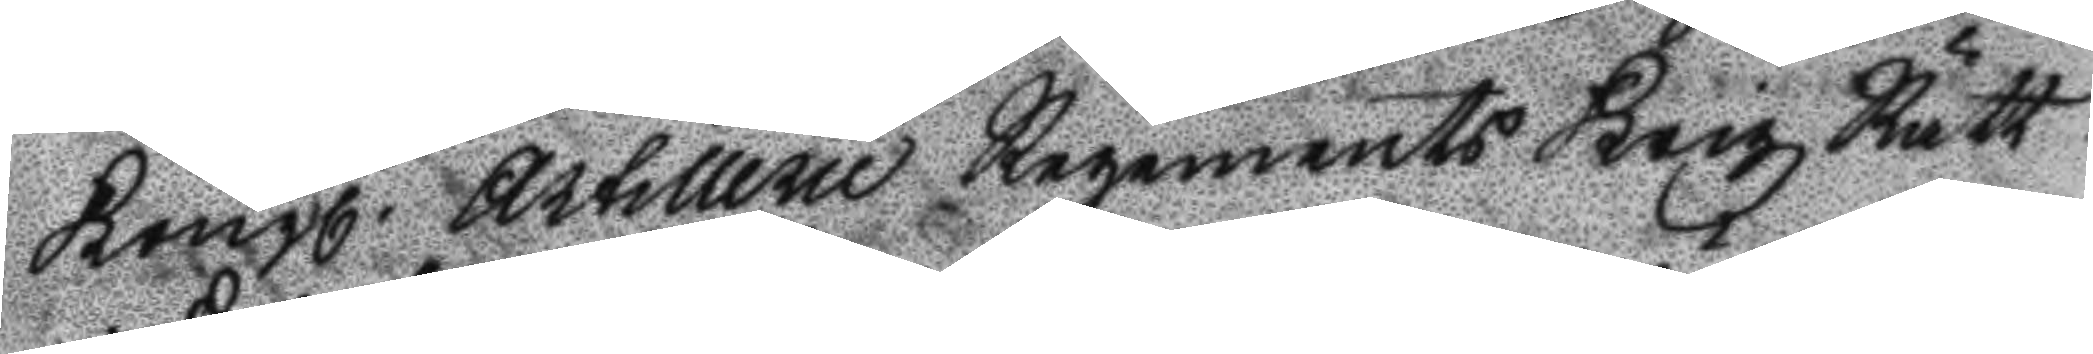Kongl. Artillerie Regements Krigz Rätt
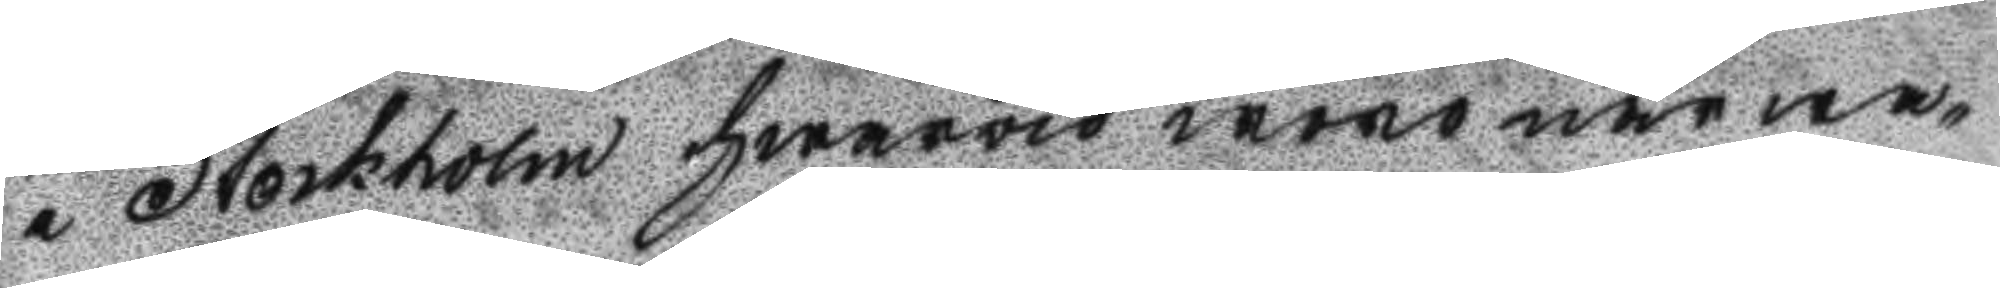i Stockholm hwarvid woro närwa¬
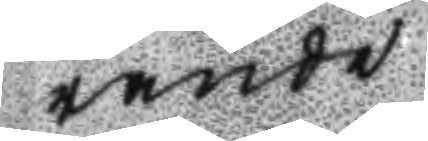rande
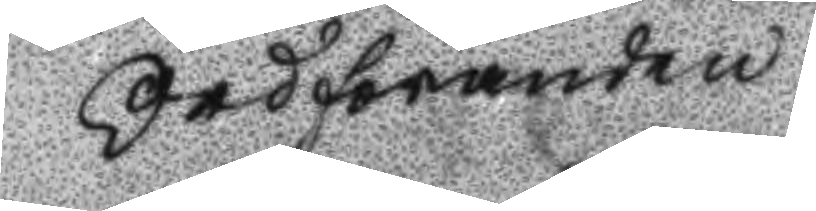Ordföranden
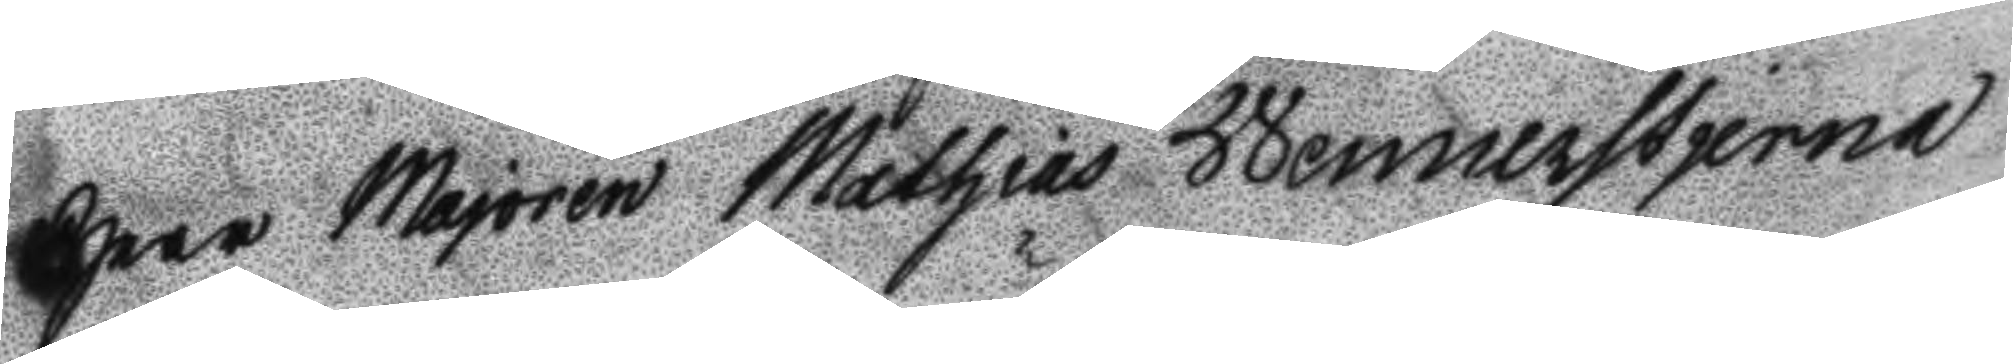Herr Majoren Mathias Wennerstierna
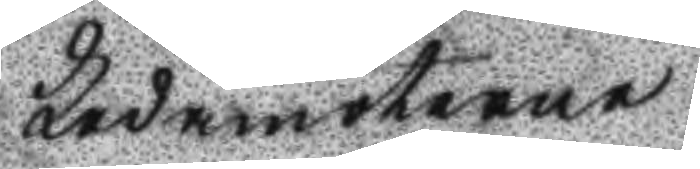Ledamöterne
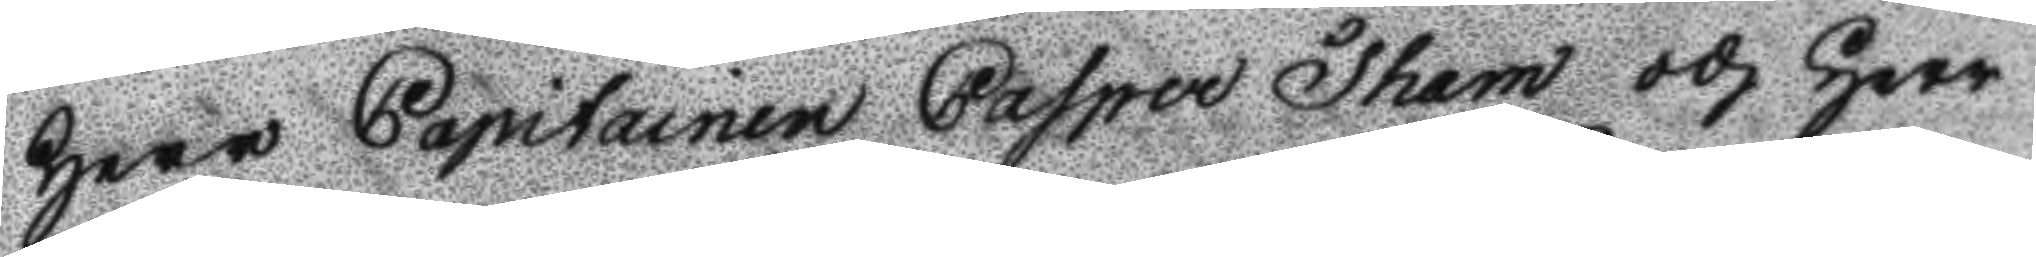Herr Capitainen Casper Tham och Herr
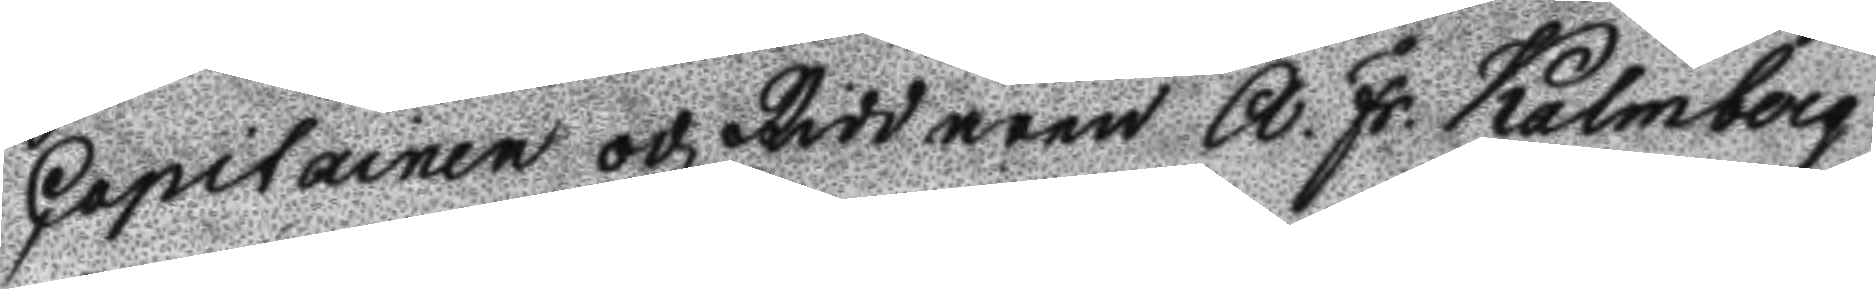Capitainen och Riddaren A. Fr. Kalmberg
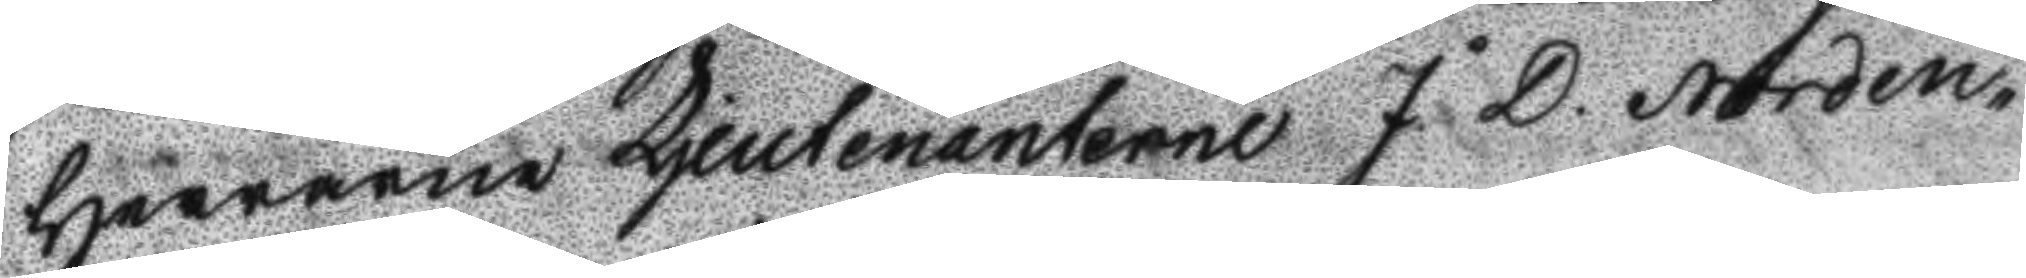Herrarne Ljeutenanterne J. D. Norden¬
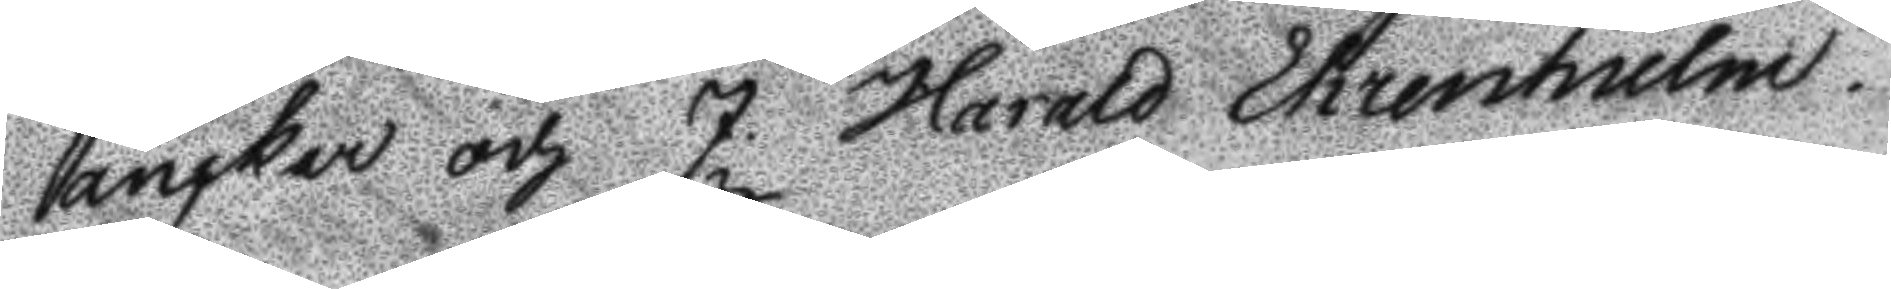anckar och J. Harald Ehrenhielm.
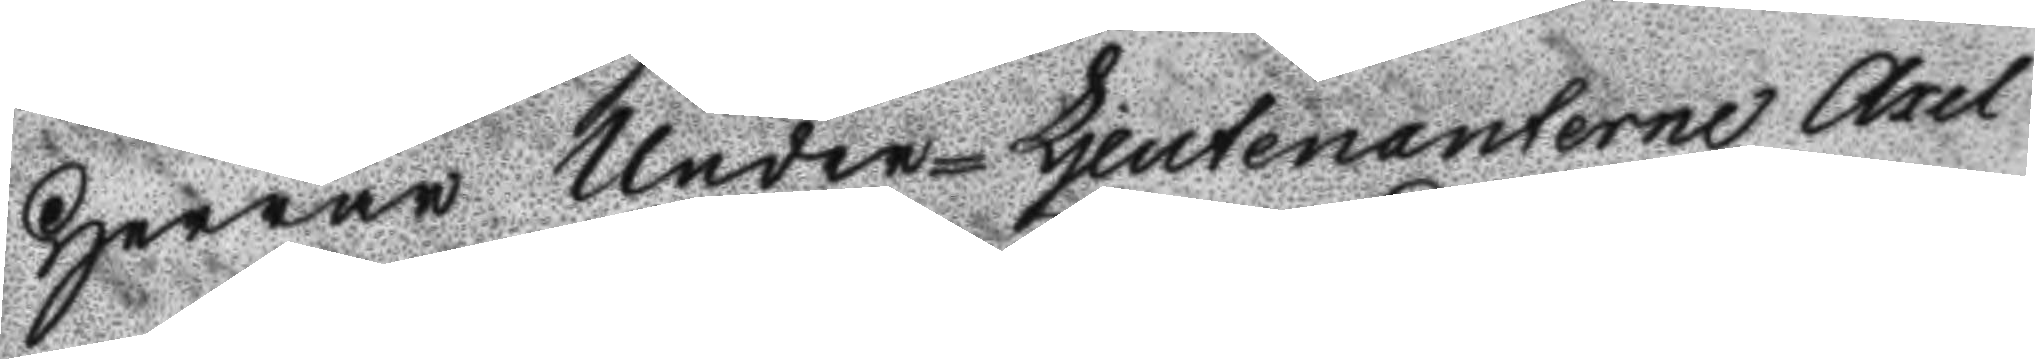Herrar Under-Ljeutenanterne Axel
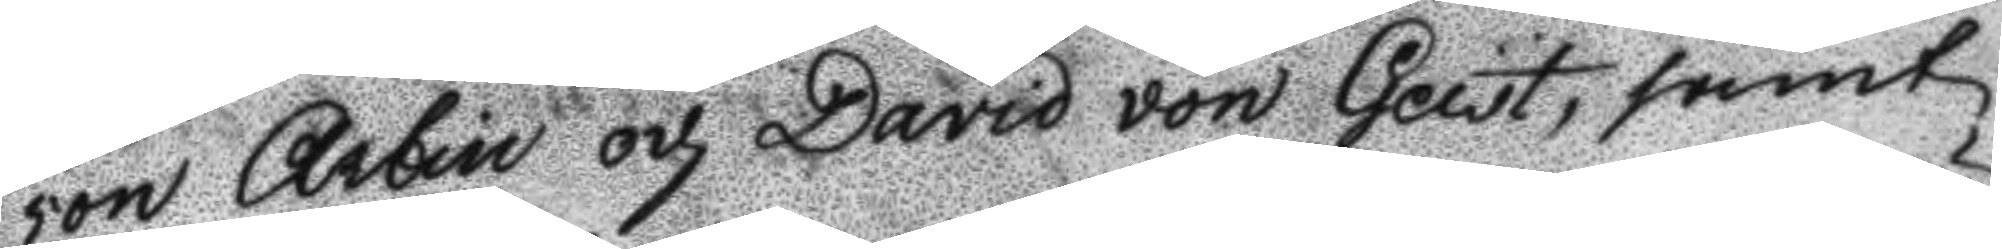von Arbin och David von Geist, samt
